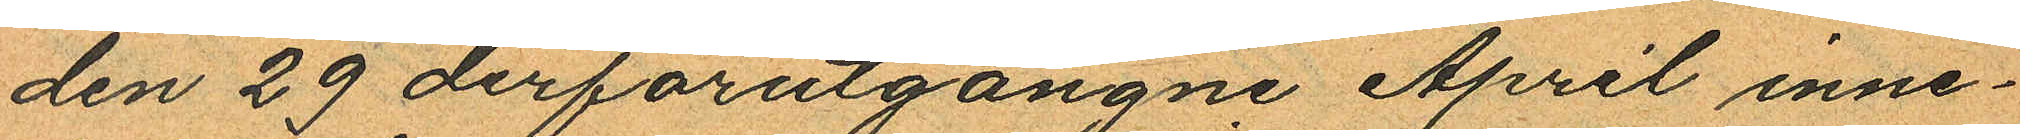den 29 derförutgångne April inne¬
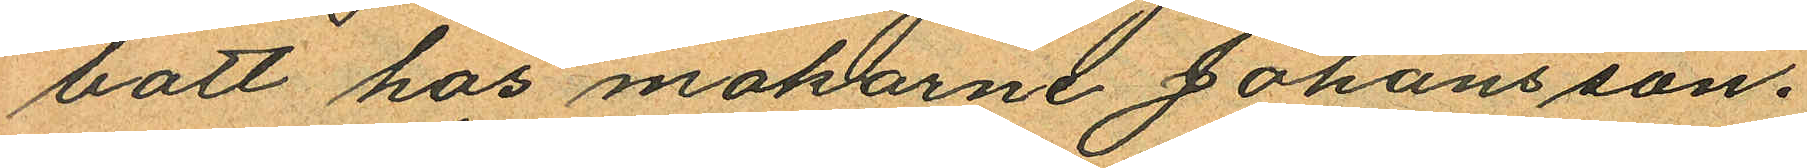bott hos makarne Johansson.
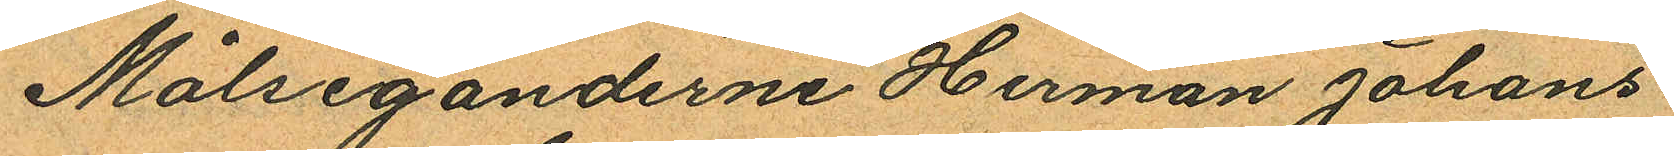Målseganderne Herman Johans¬
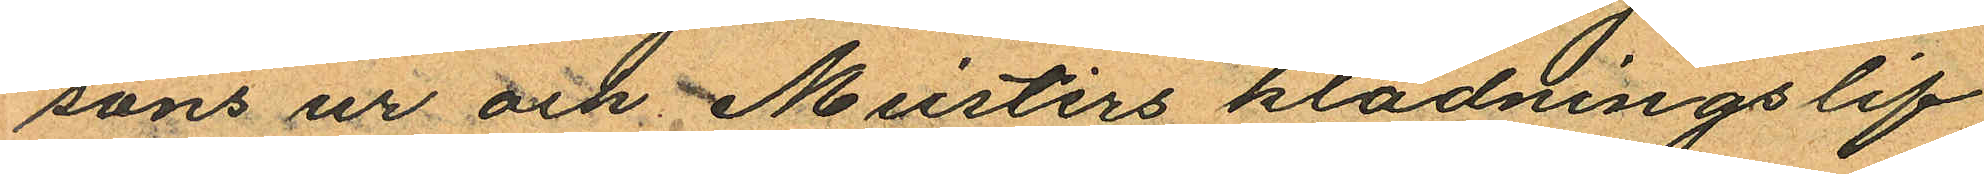sons ur och Meisters klädningslif
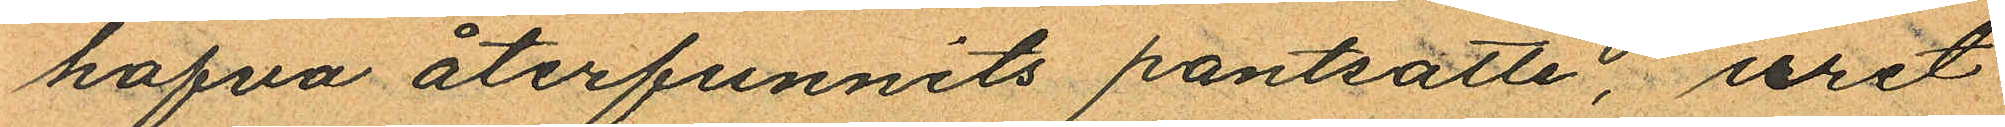hafva återfunnits pantsatte, uret
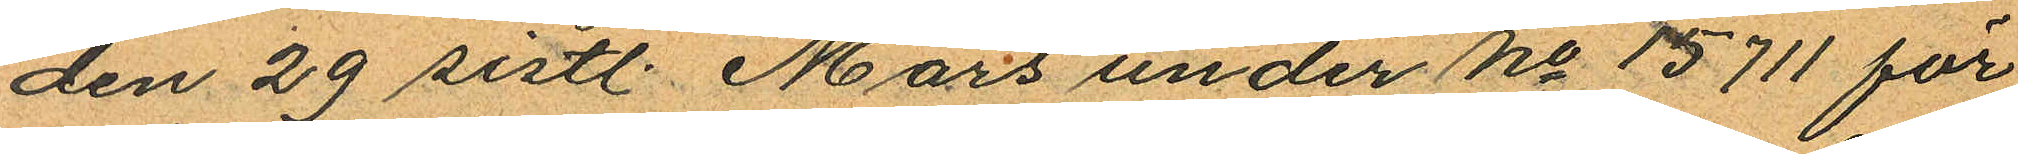den 29 sistl. Mars under No 15711 för
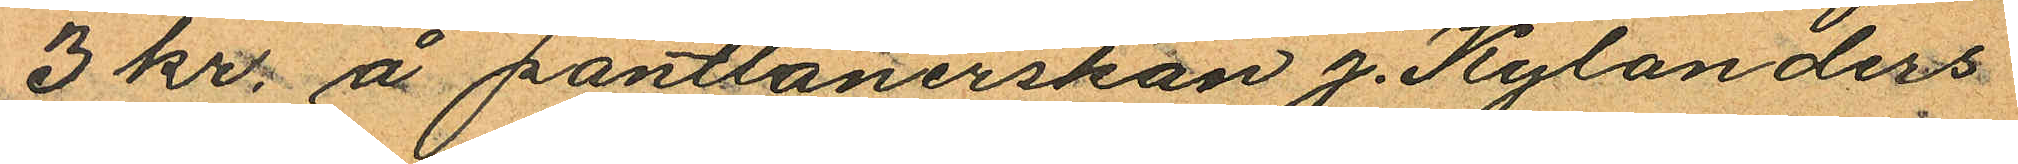3 kr. å pantlånerskan J. Kylanders
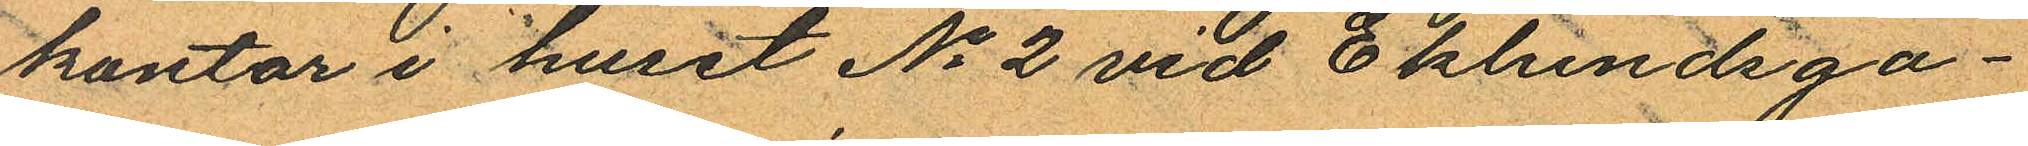kontor i huset No 2 vid Eklundsga¬
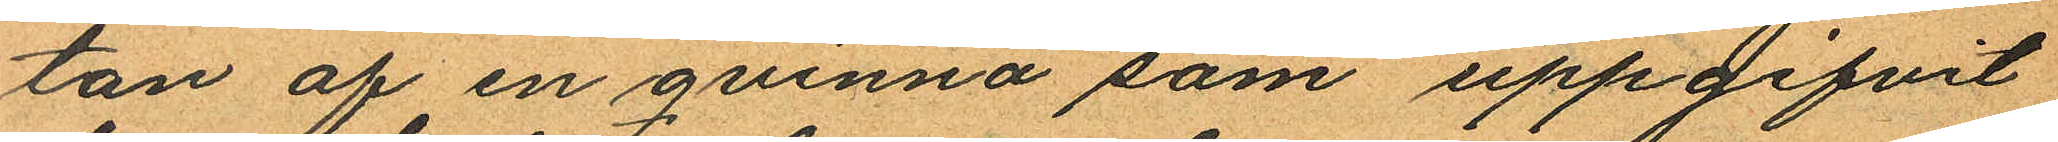tan af en qvinna som uppgifvit
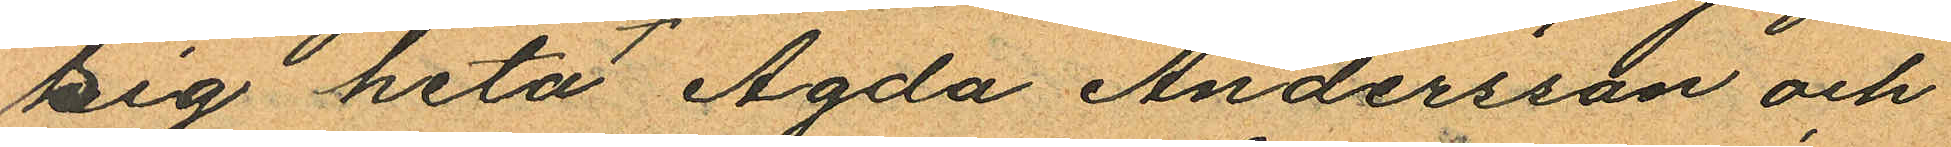sig heta Agda Andersson och
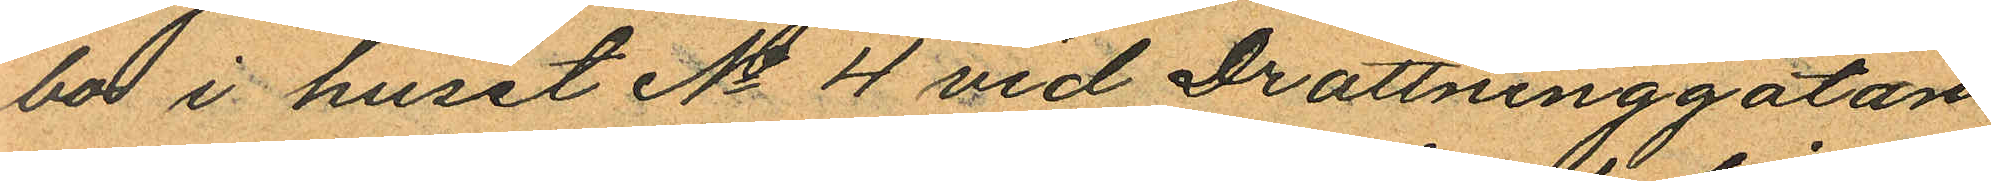bo i huset No 4 vid Drottninggatan
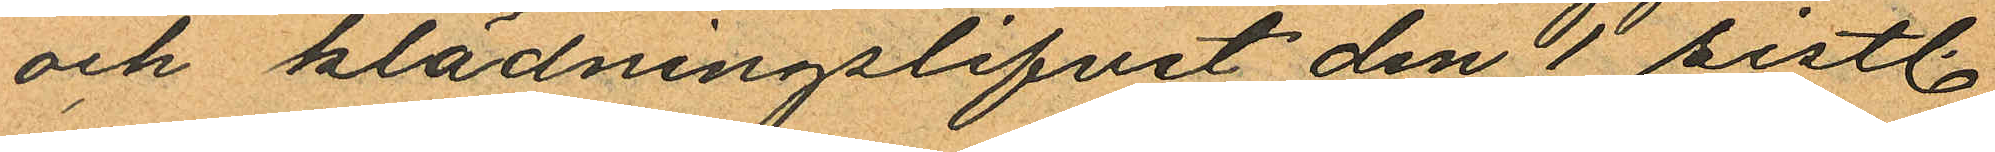och klädningslifvet den 1 sistl.
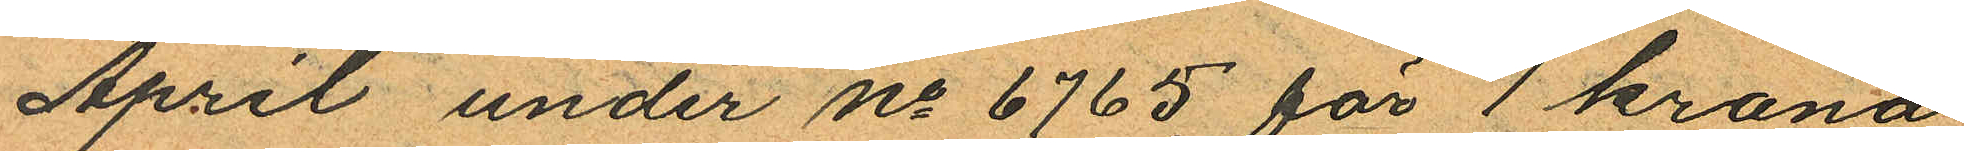April under No 6765 för 1 krona
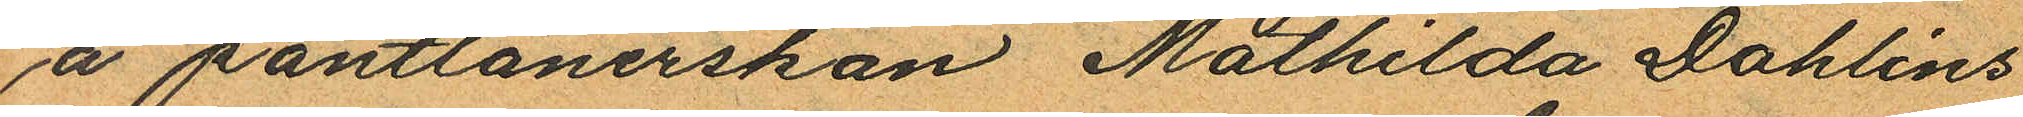å pantlånerskan Mathilda Dahlins
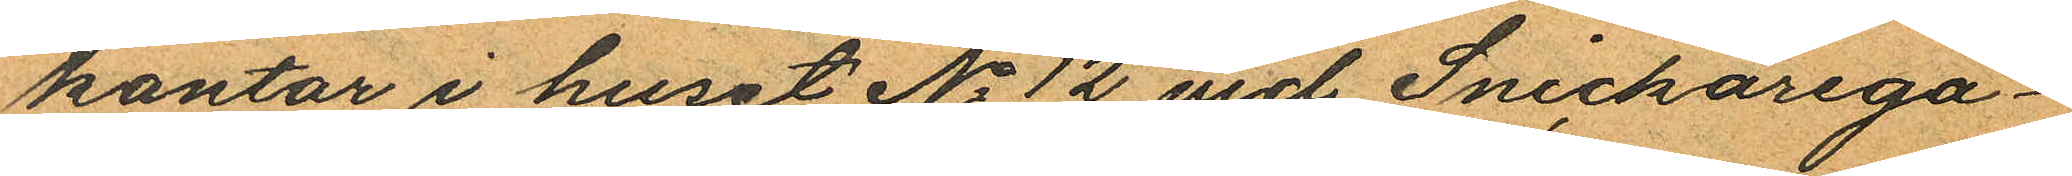kontor i huset No 12 vid Snickarega¬
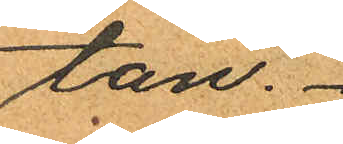tan.
